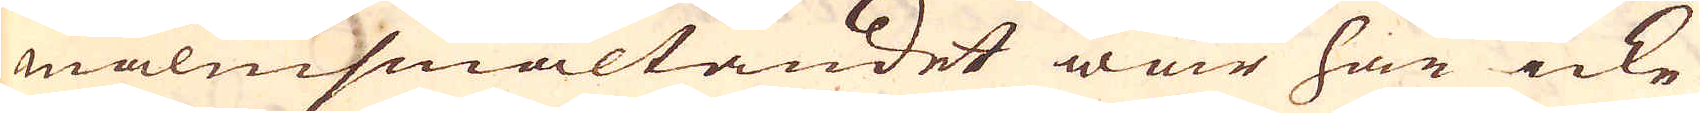malmsmältandet war här icke
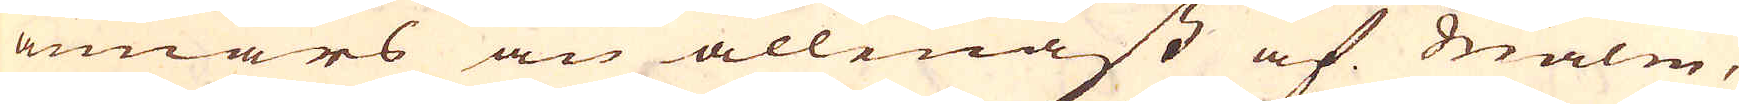annars än allenast af malm,
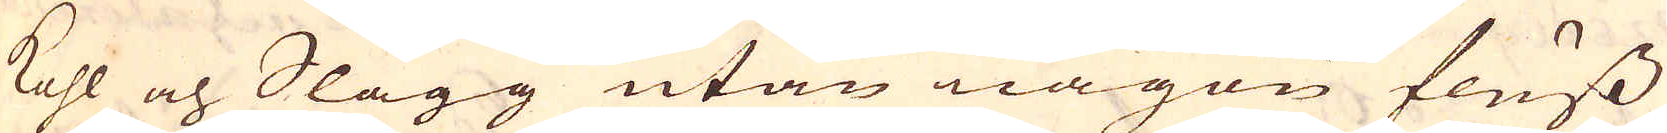kohl och Slagg utan någon fluss
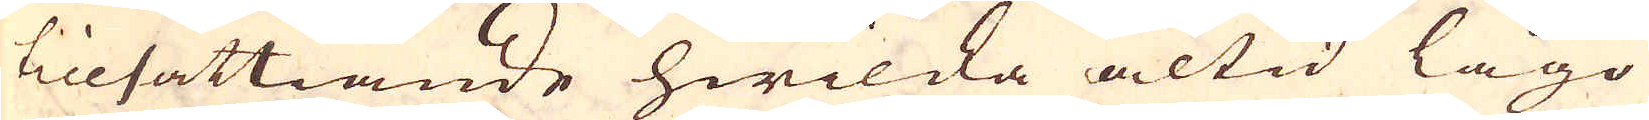tillsättiande hwilcka altid lågo
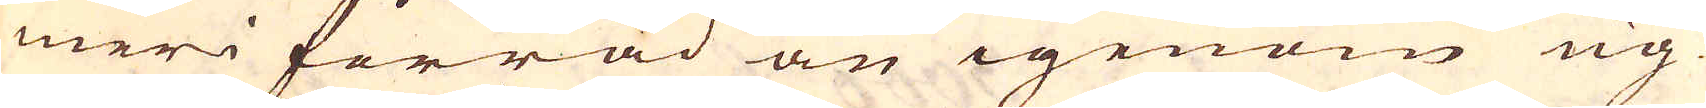meri förråd än igenom ug-
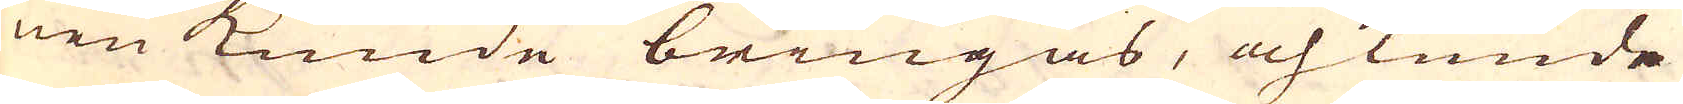nen kunde bringas, och kunde
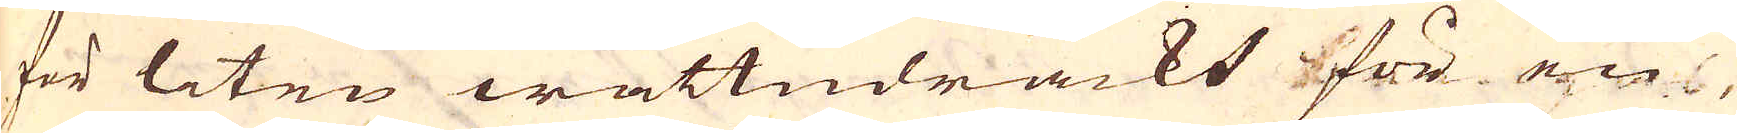för liten wattndräckt för en
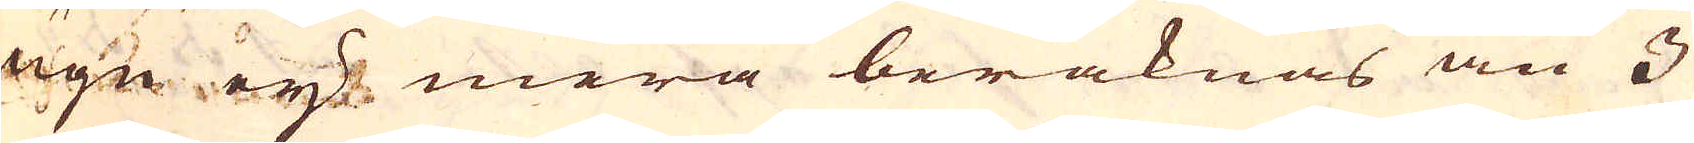ugn ey mera beräknas än 3
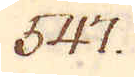547.
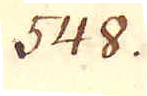548.
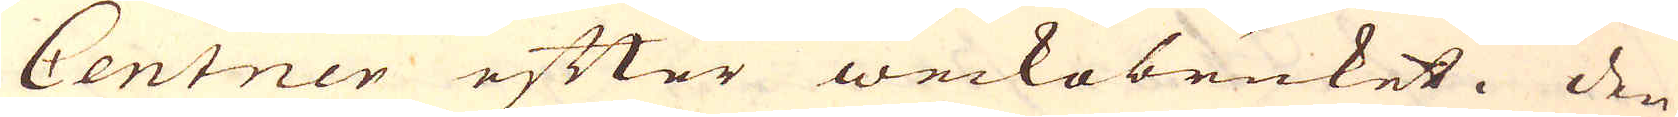Centner efter weckobruket. Den
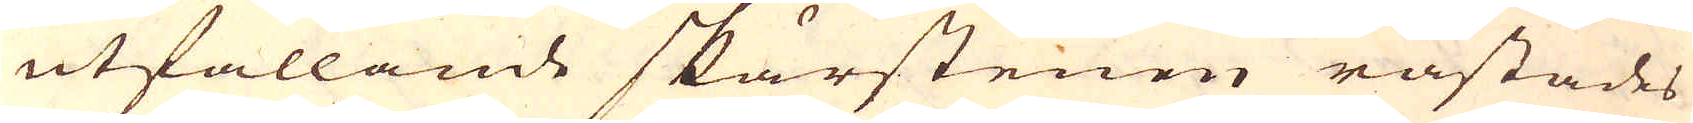utfallande skärstenen råstades
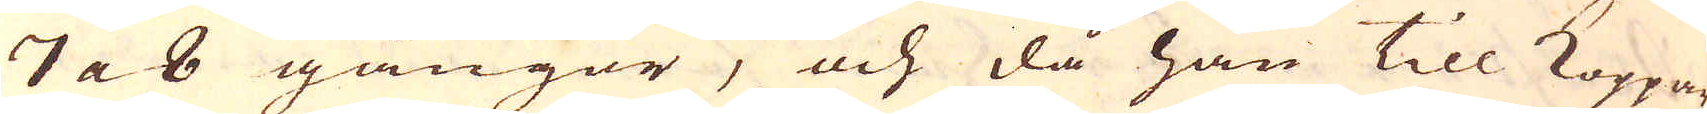7 a 8 gångor, och då han till Koppar
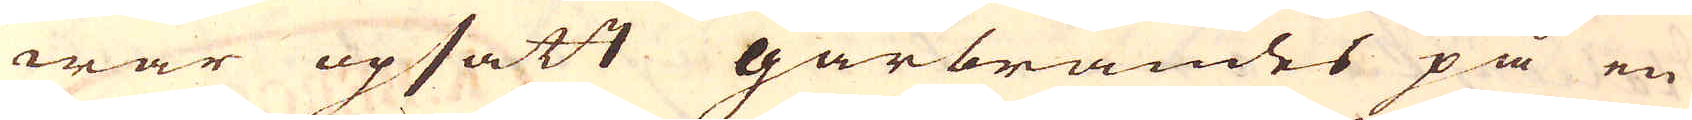war upsatt gårbrändes på en
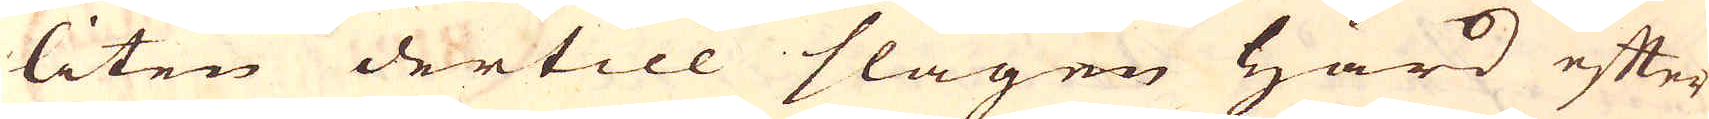liten dertill slagen härd efter
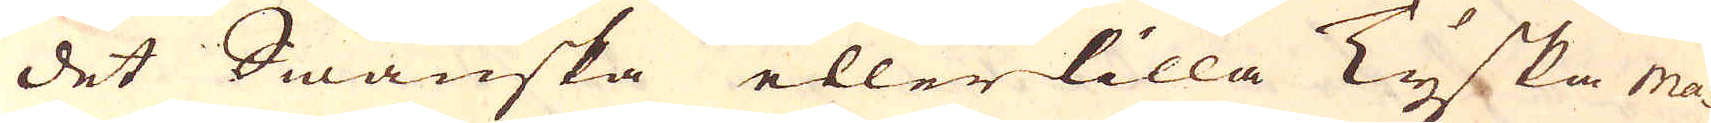det Swänska eller lilla Tyska ma-
